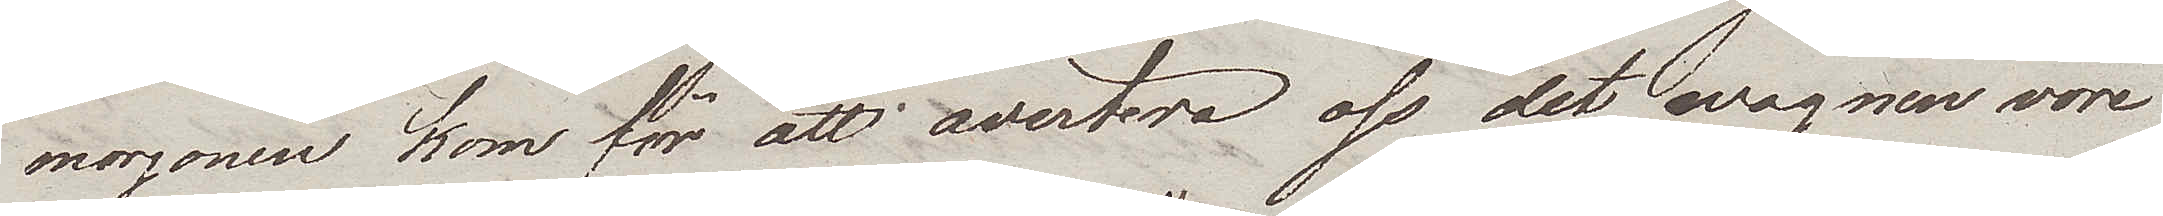morgonen kom för att avertera oss det wagnen vore
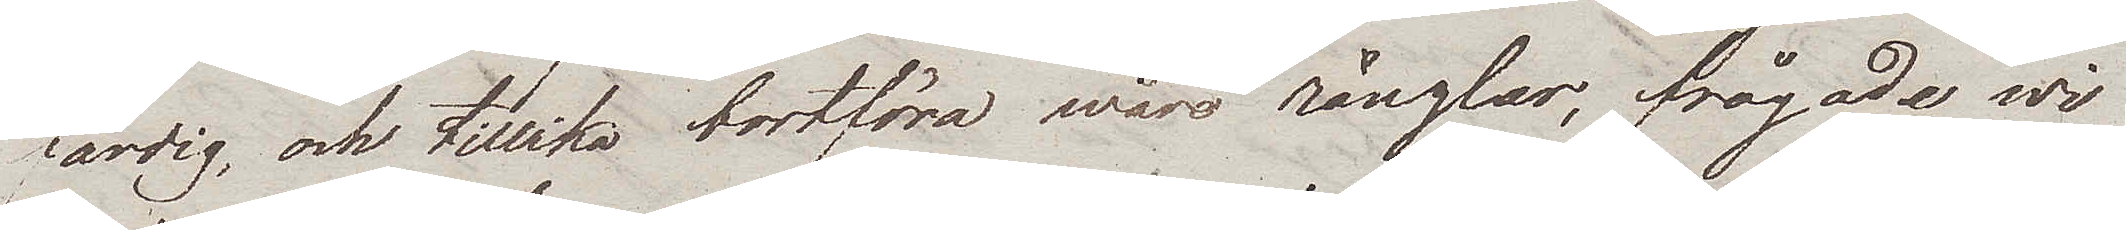färdig, och tillika bortföra wåre ränzlar, frågade wi
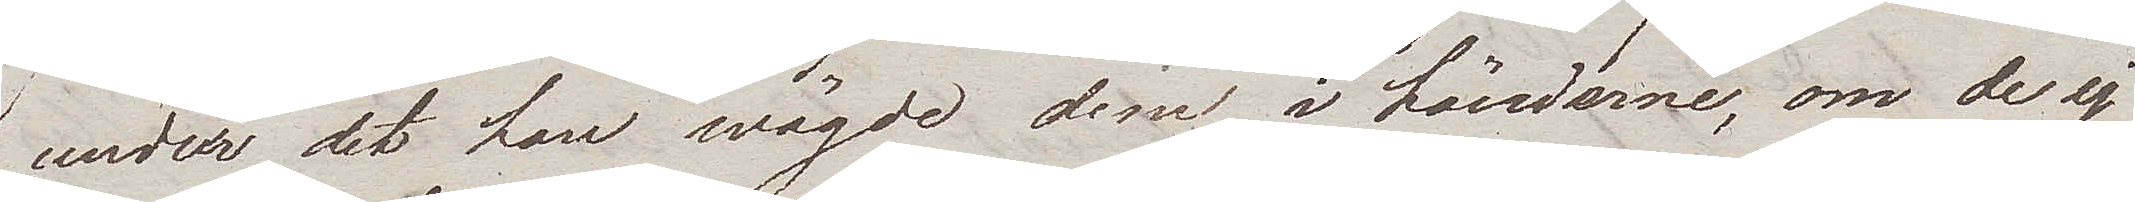under det han wägde dem i händerne, om de ej
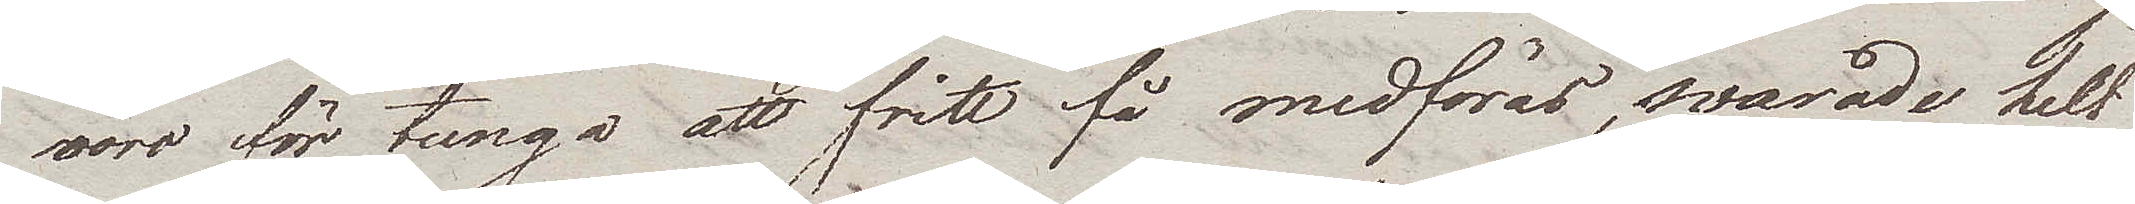voro för tunga att fritt få medföras, svarade helt
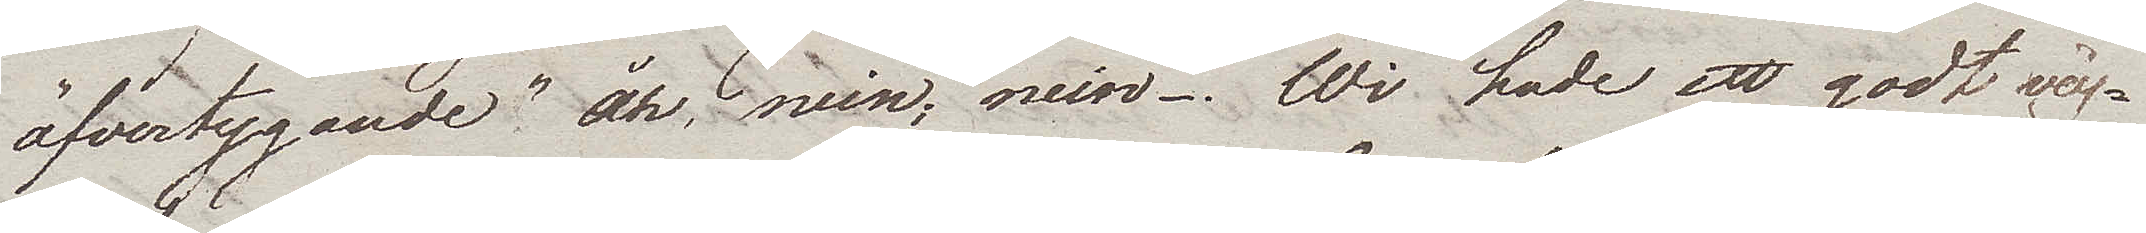öfvertygande "åh, nein, nein. Wi hade ett godt väg¬
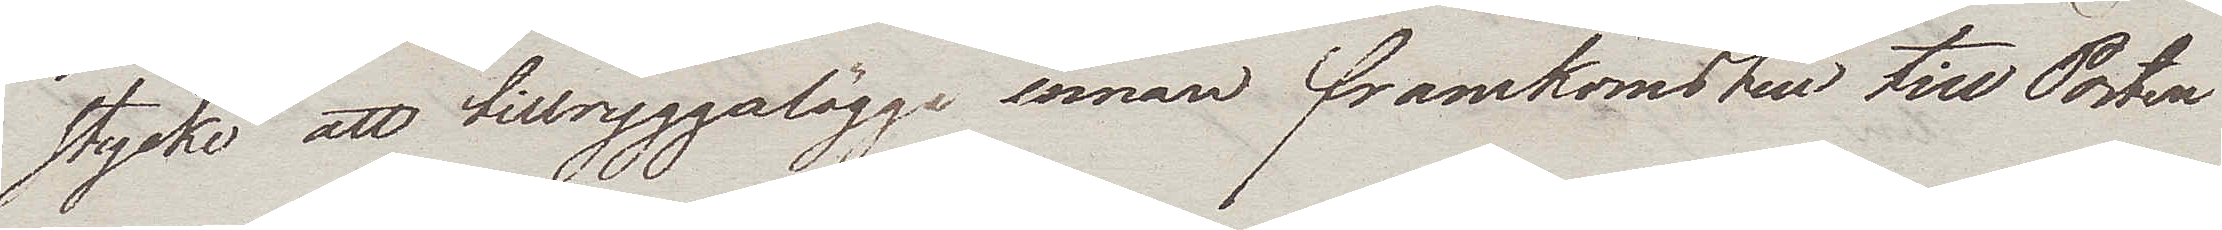stycke att tillryggalägga innan framkomsten till Posten.
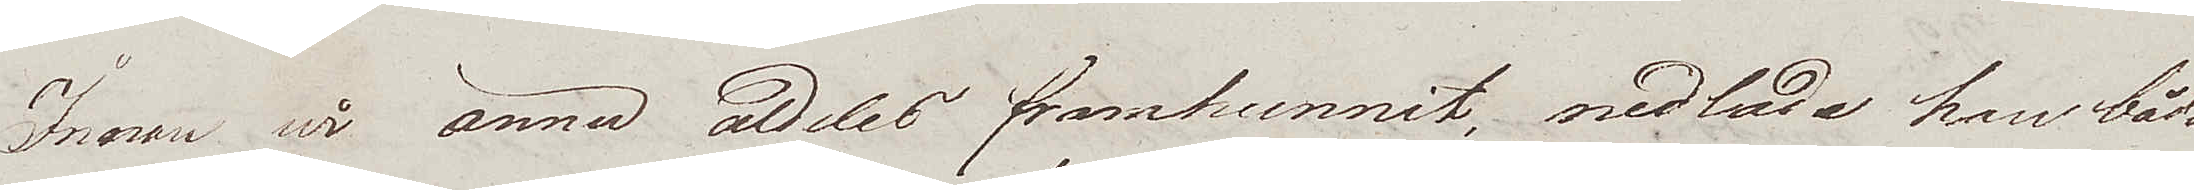Innan wi ännu aldeles framhunnit, nedlade han båda
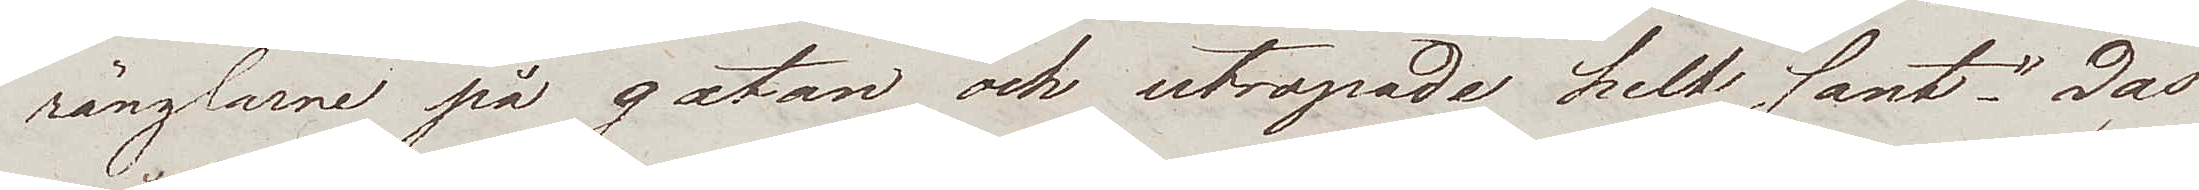ränzlarne på gatan och utropade helt sant  "Das
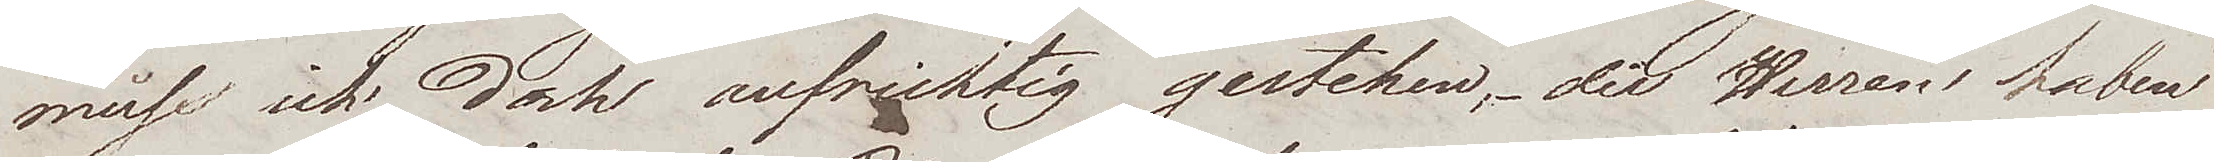muss ich doch aufrichtig gestehen, die Herren haben
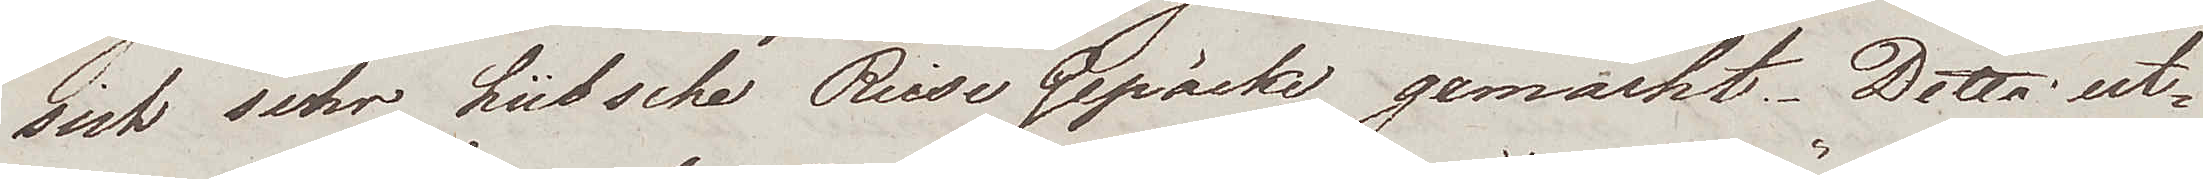sich sehr hübsche Reise Gepäcke gemacht. Detta ut¬
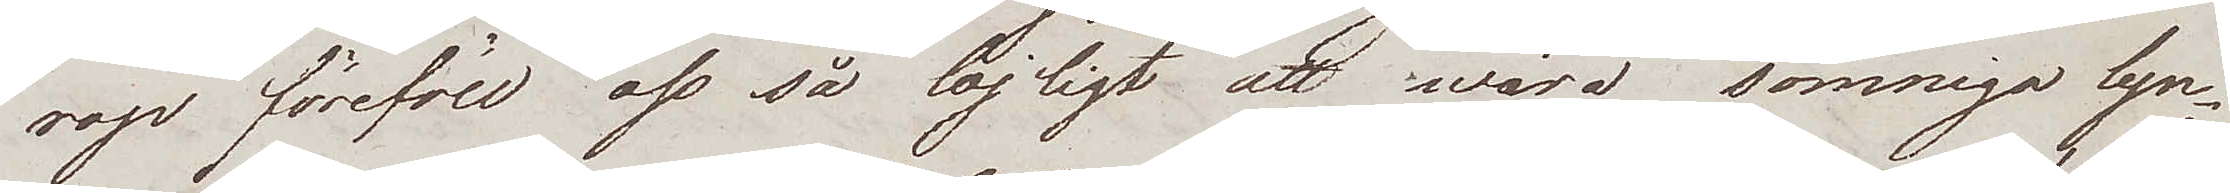rop föreföll oss så löjligt att wåra sömniga lyn¬
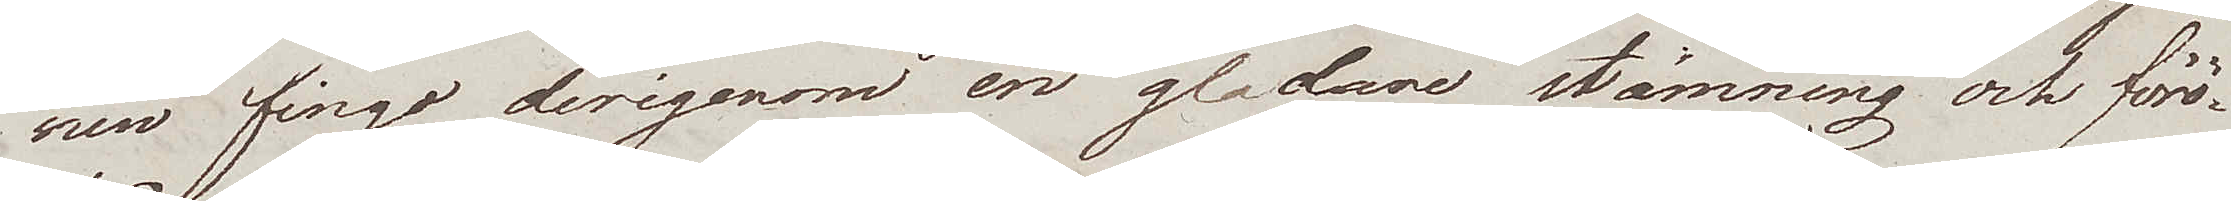nen fingo derigenom en gladare stämning och förö¬
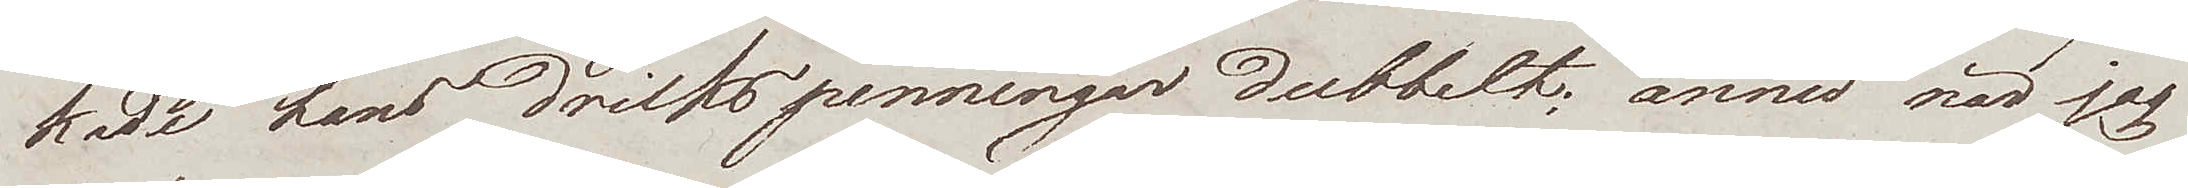kade hans drickspenningar dubbelt; ännu när jag
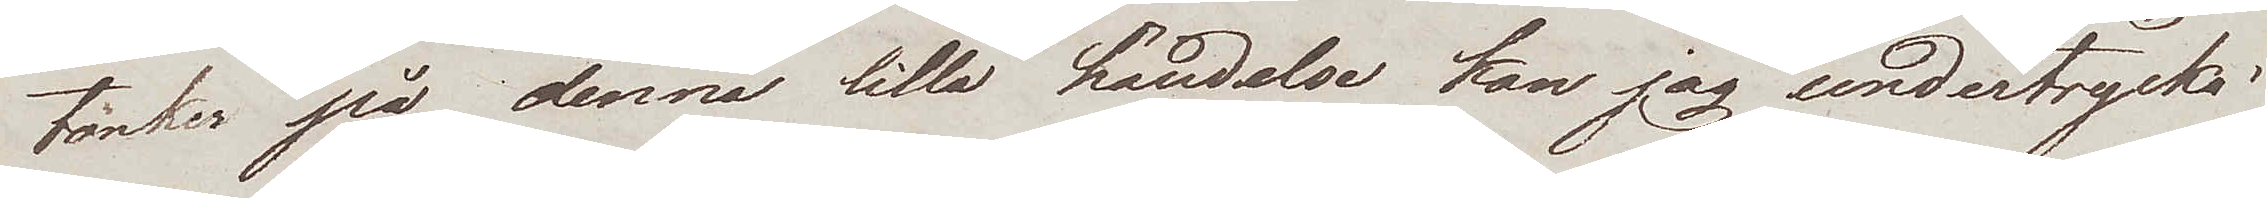tänker på denna lilla händelse kan jag undertrycka.
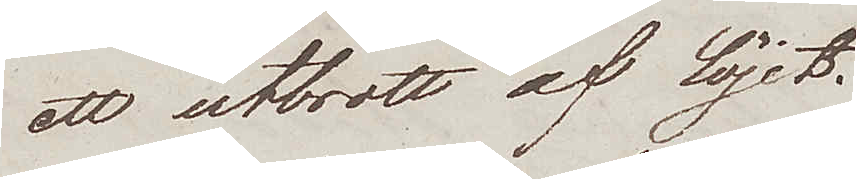ett utbrott af löjet.
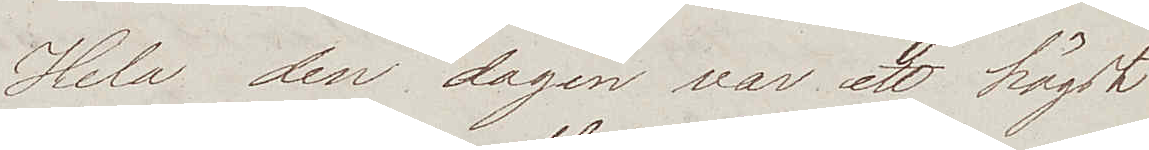Hela den dagen var ett högst
